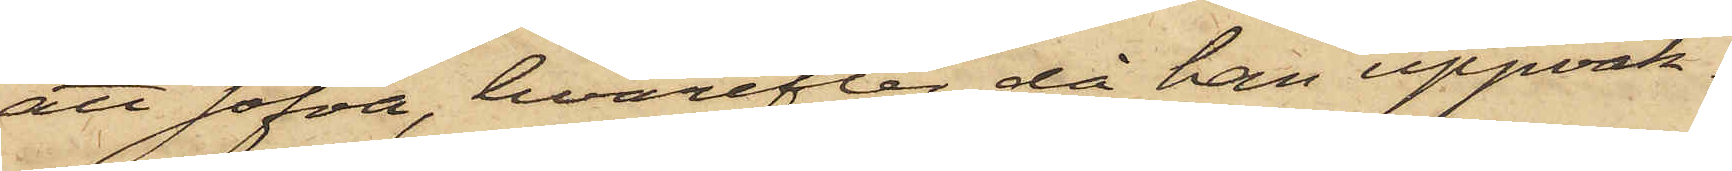att sofva, hvarefter, då han uppvak¬
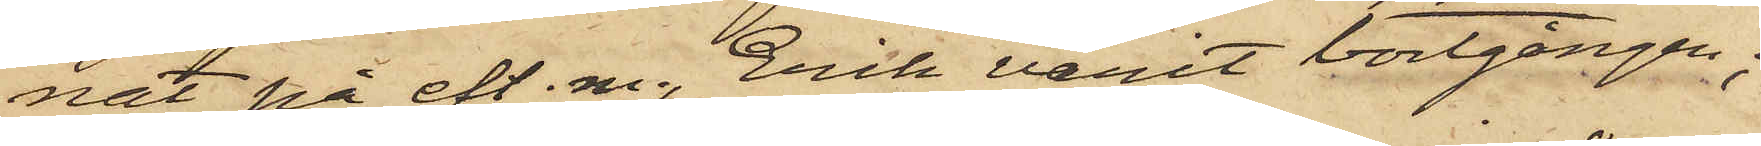nat på eft. m., Erik varit bortgången;
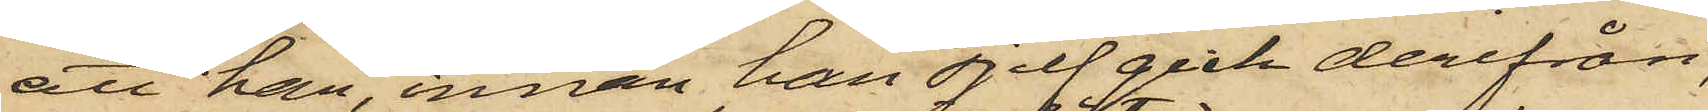att han, innan han sjelf gick derifrån,
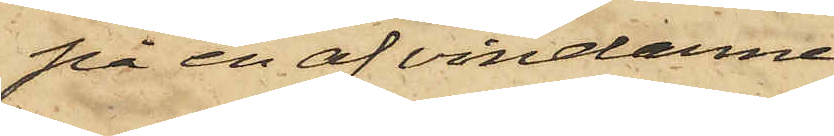på en af vindarne,
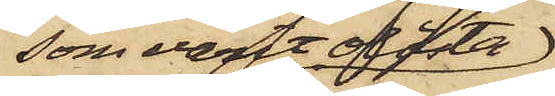som varit olåsta
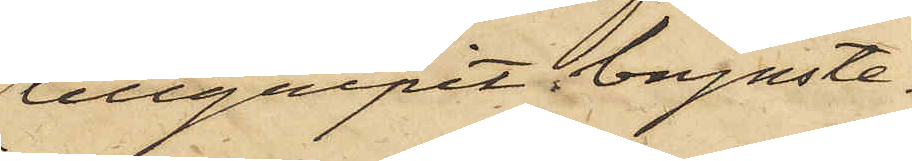tillgripit brynste¬
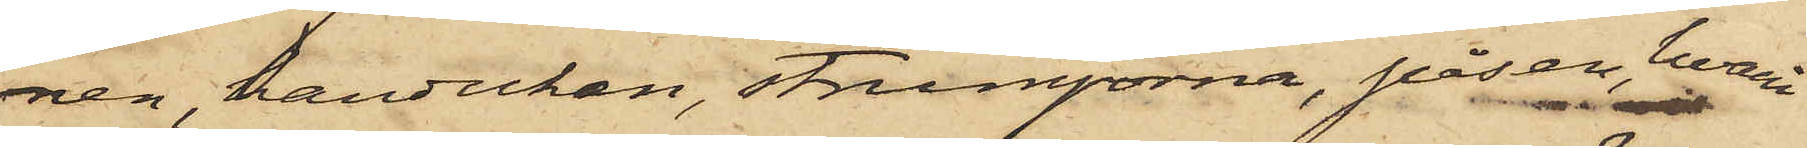nen, handuken, strumporna, påsen, hvari
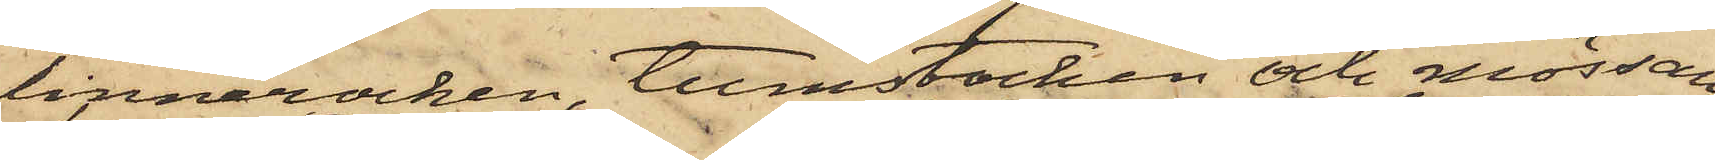linnerocken, tumstocken och mössan
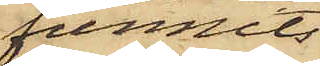funnits
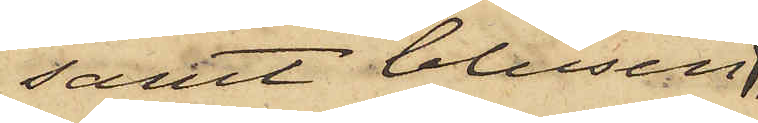samt blusen
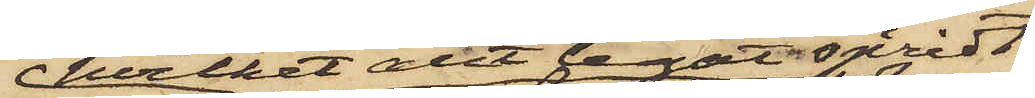hvilket allt legat spridt
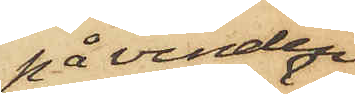på vinden;
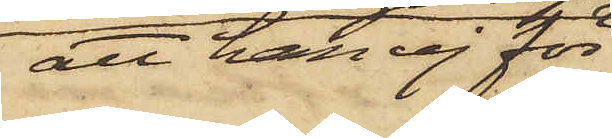att han ej för
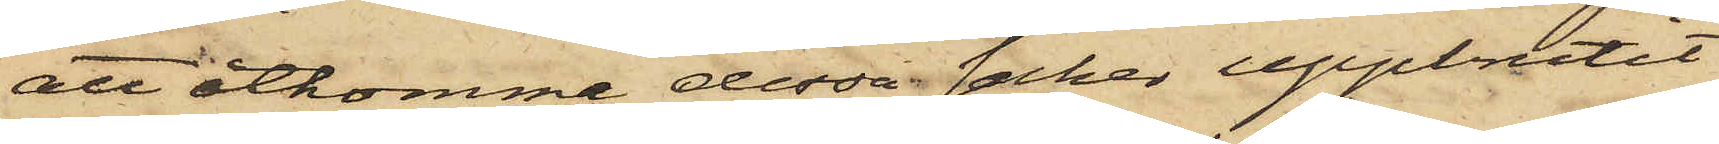att åtkomma dessa saker uppbrutit
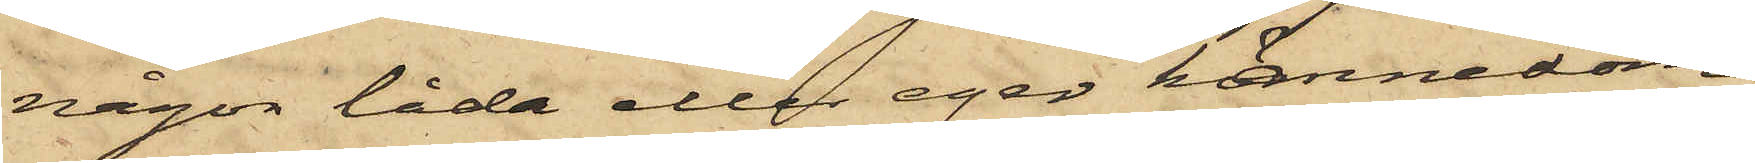någon låda eller eger kännedom,
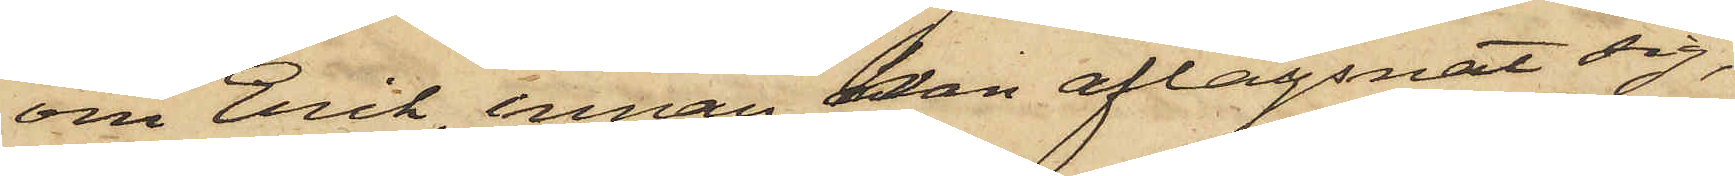om Erik, innan han aflägsnat sig,
